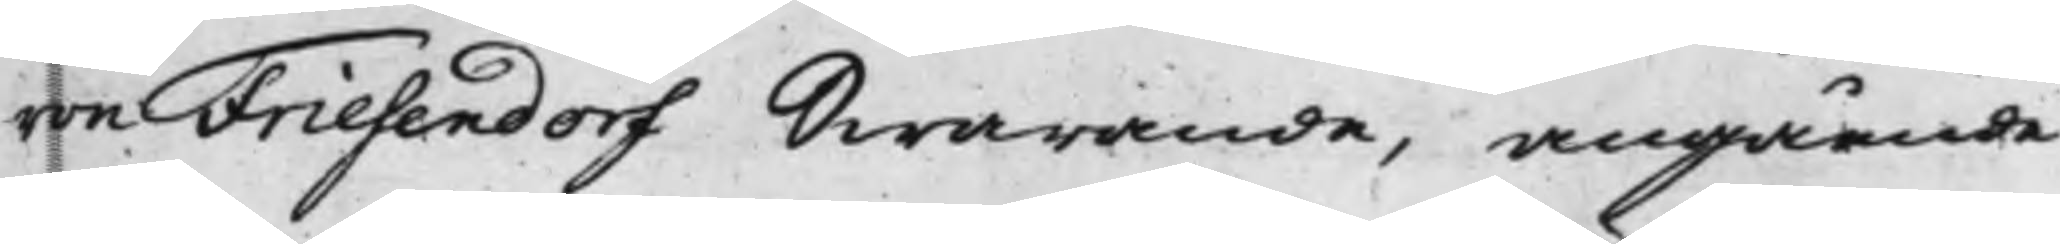von Friesendorf Swarande, angående
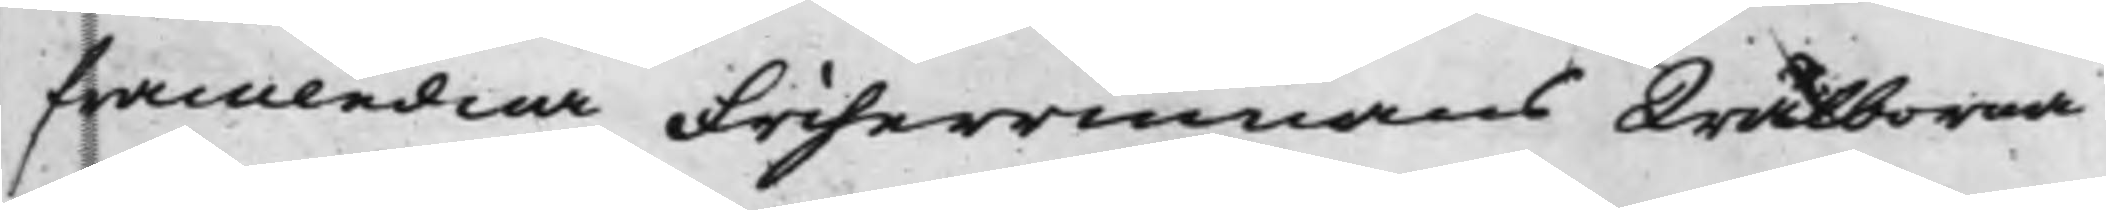framledna Friherrinnans Wälborna
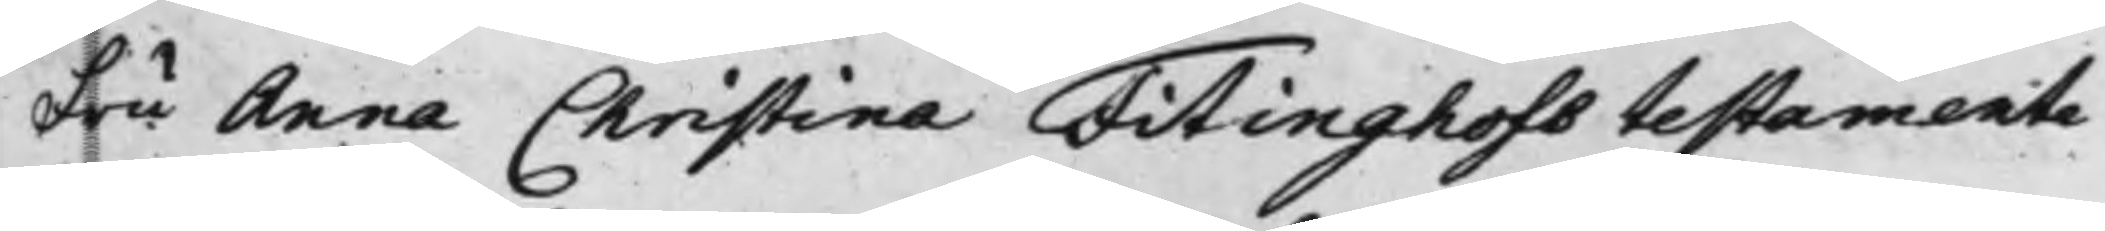Fru Anna Christina Fitinghofs testamente
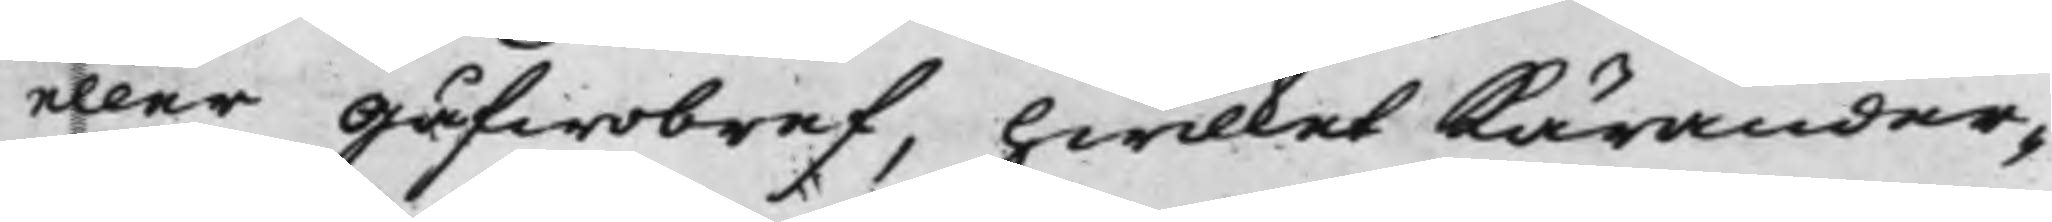eller Gåfwobref, hwilket Kärander¬
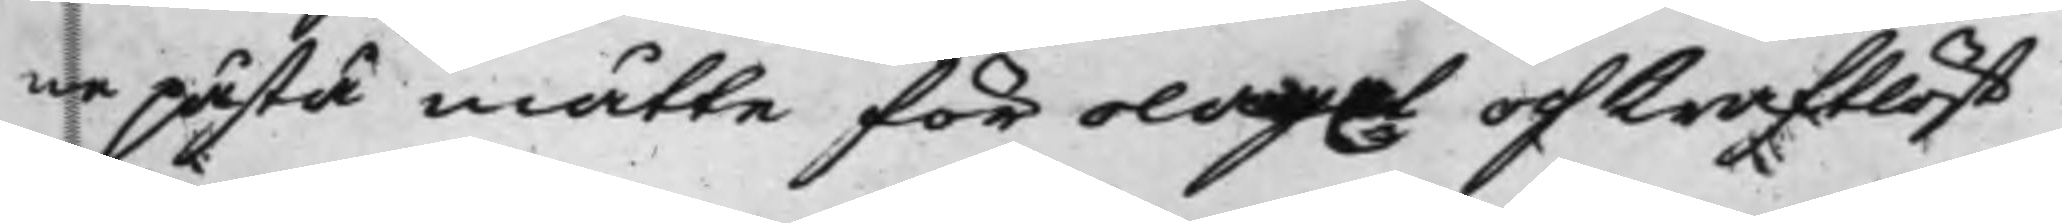ne påstå måtte för olaga och kraftlöst
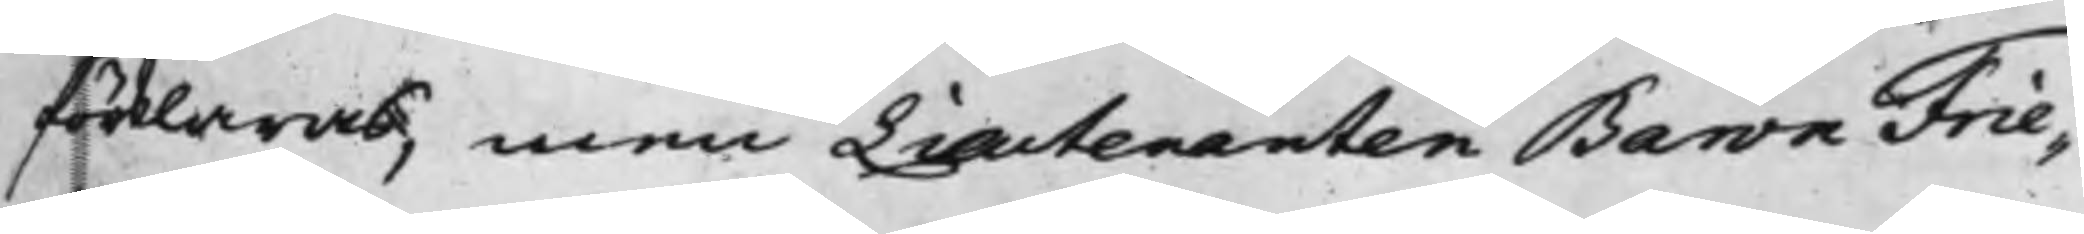förklaras, men Lieutenanten Baron Frie¬
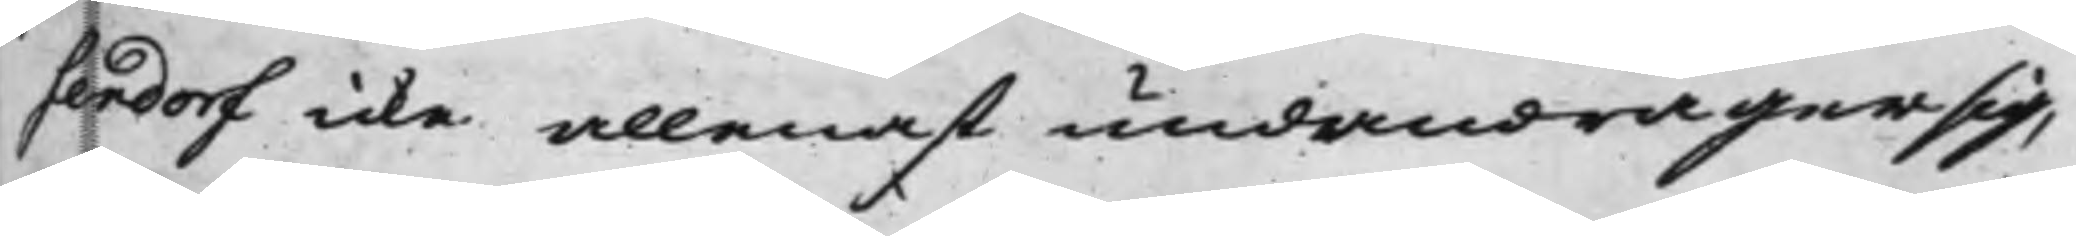sendorf icke allenast undandrager sig,
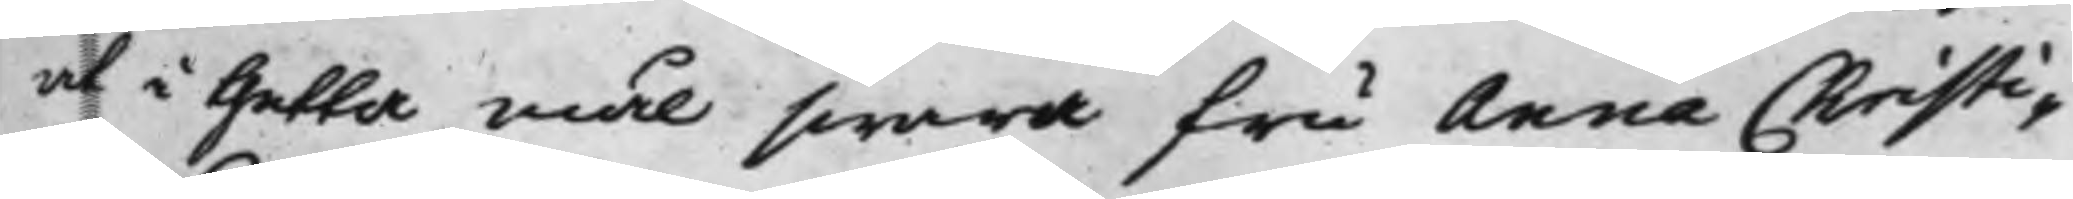at i thetta mål swara fru Anna Christi¬
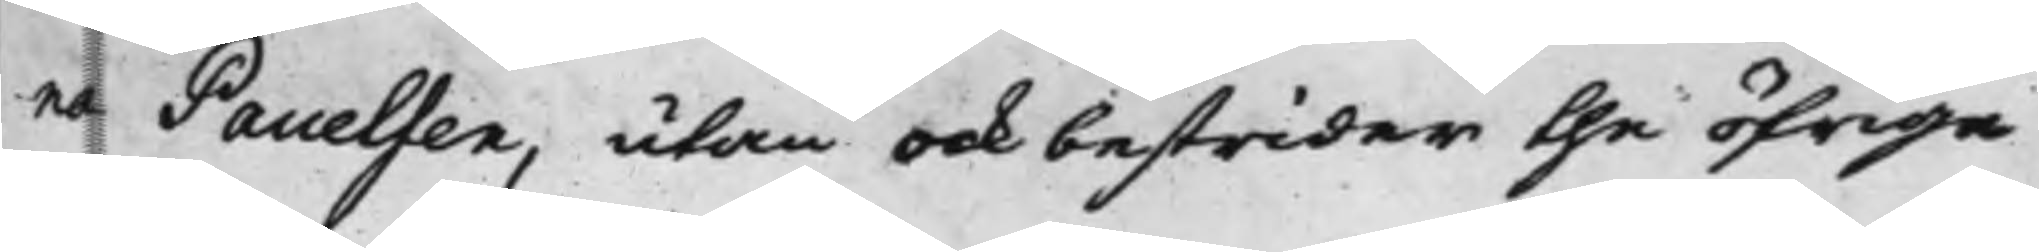na Pauelsen, utan ock bestrider the öfrige
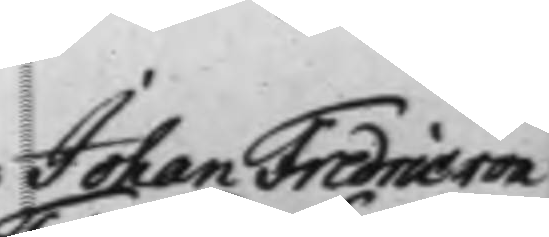Johan Fredric von
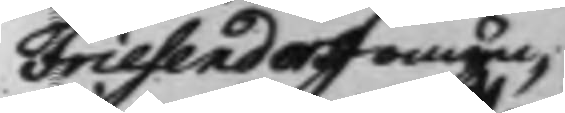Friesendorff omyn¬
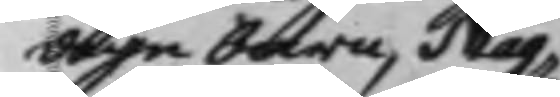dige barn, Mag¬
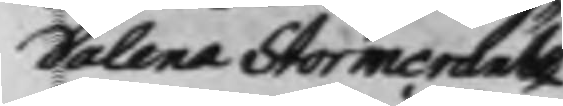dalena Stormcrantz
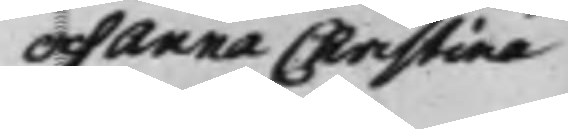och Anna Christina
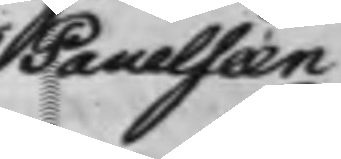Pauelseen
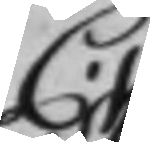C.
